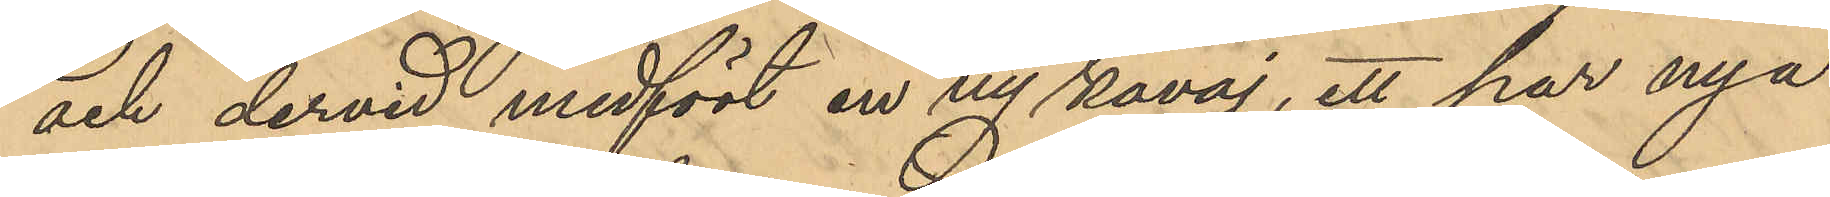och dervid medfört en ny kavaj, ett par nya
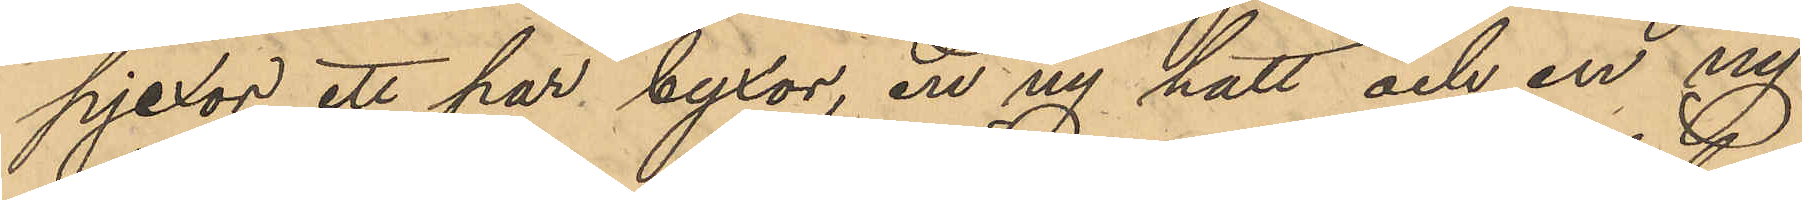pjexor ett par byxor, en ny hatt och en ny
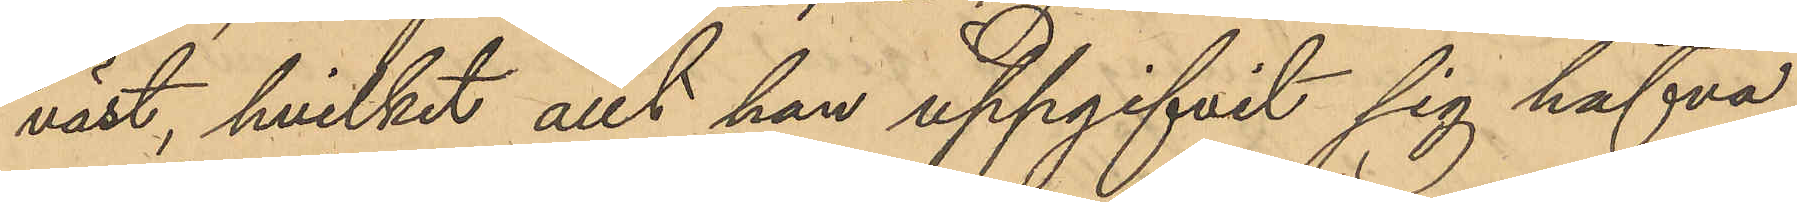väst, hvilket allt han uppgifvit sig hafva
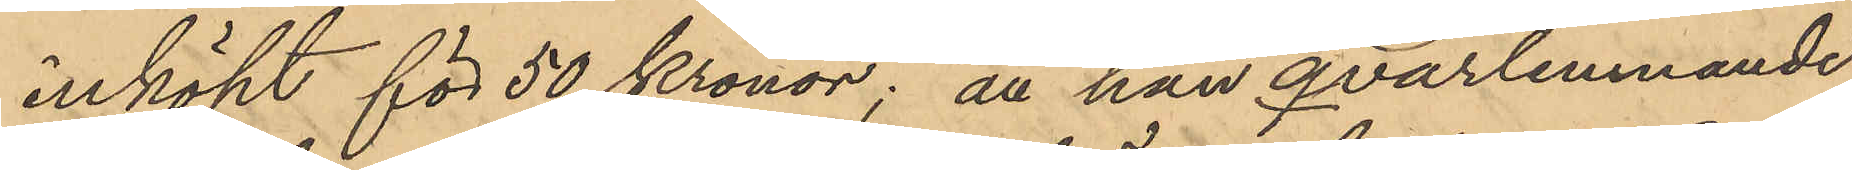inköpt för 50 Kronor; att han qvarlemnande
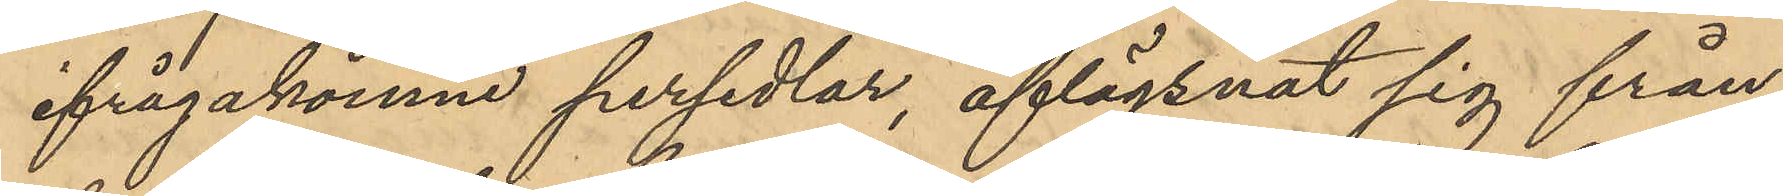ifrågakomne persedlar, aflägsnat sig från
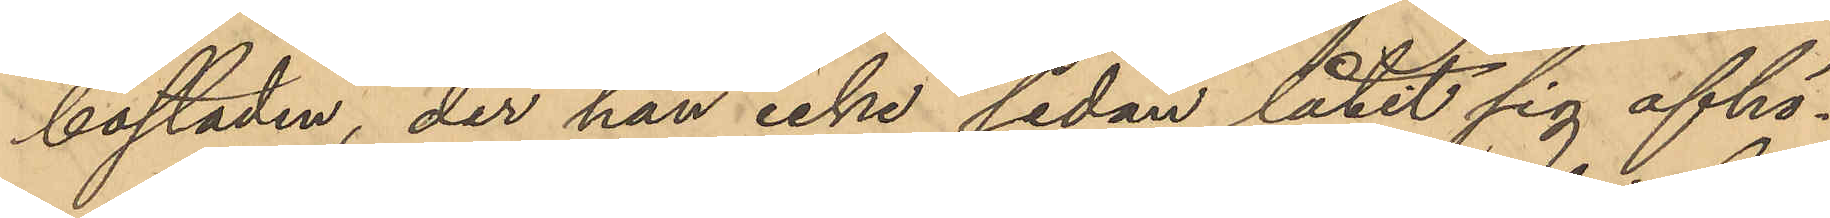bostaden, der han icke sedan låtit sig afhö¬
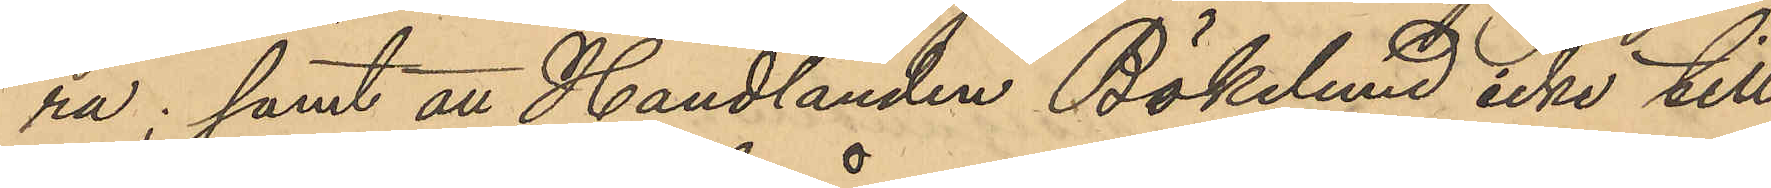ra; samt att Handlanden Bökelund icke till
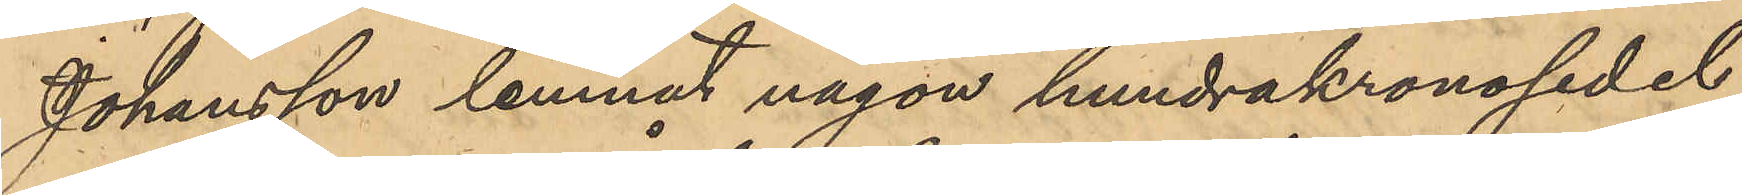Johansson lemnat någon hundrakronosedel
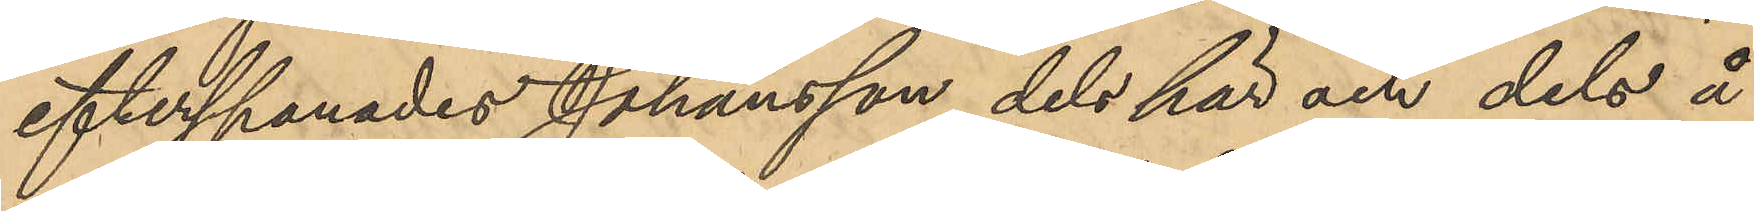efterspanades Johansson dels här om dels å
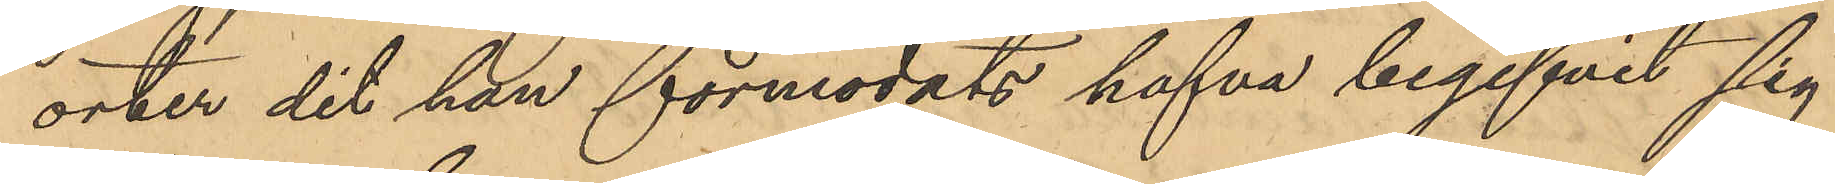orter dit han förmodats hafva begifvit sig
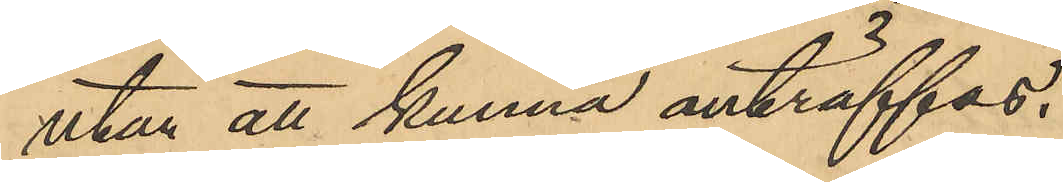utan att kunna anträffas.
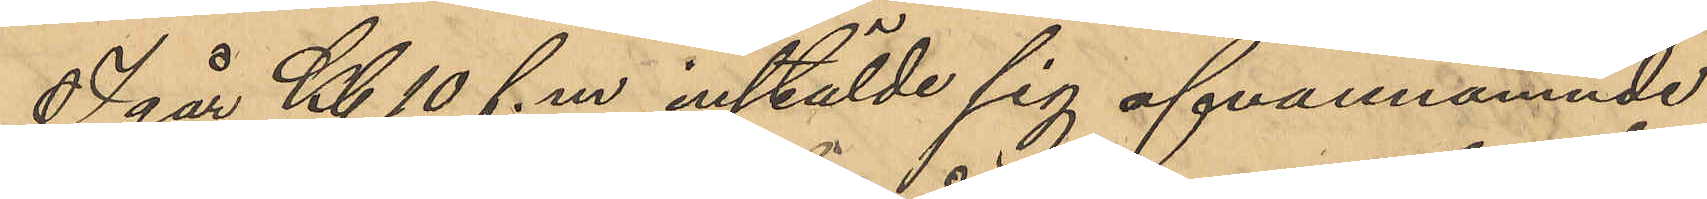I går Kl 10 f.m instälde sig ofvannämnde
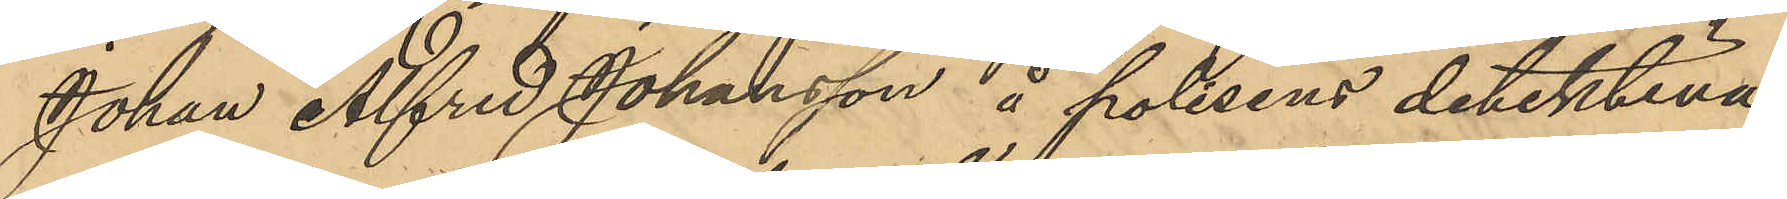Johan Alfred Johansson å polisens detektiva
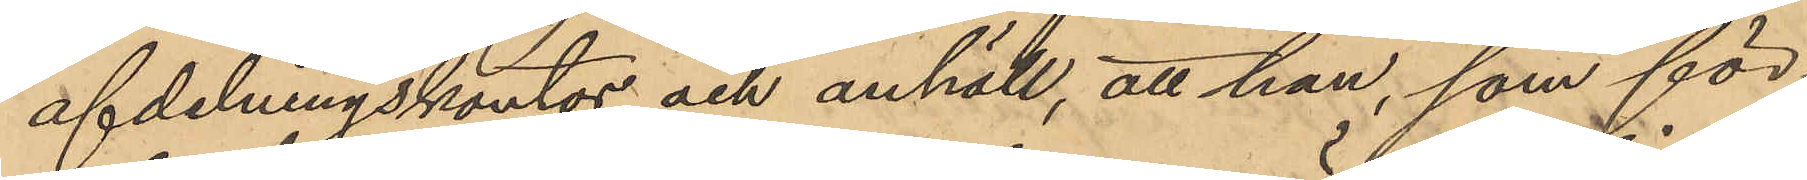afdelningskontor och anhåll, att han, som för
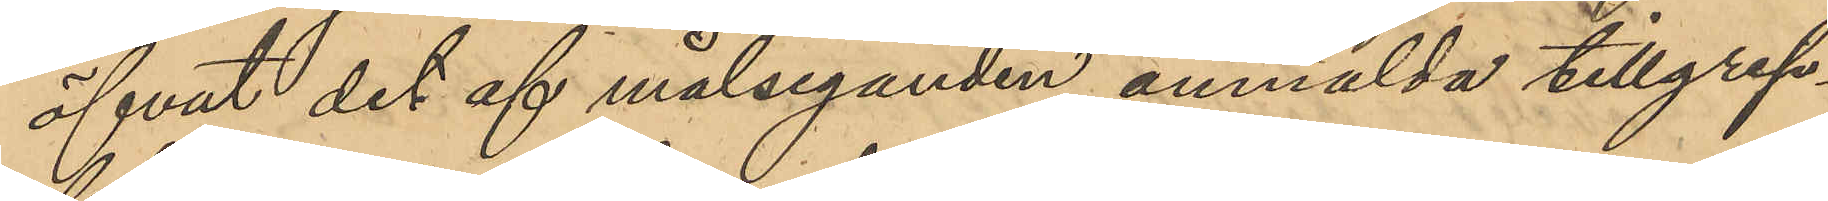öfvat det af målseganden anmälda tillgrep¬
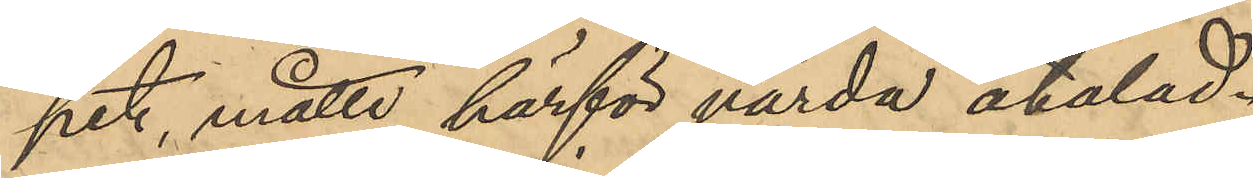pet, måtte härför värda åtalad.
